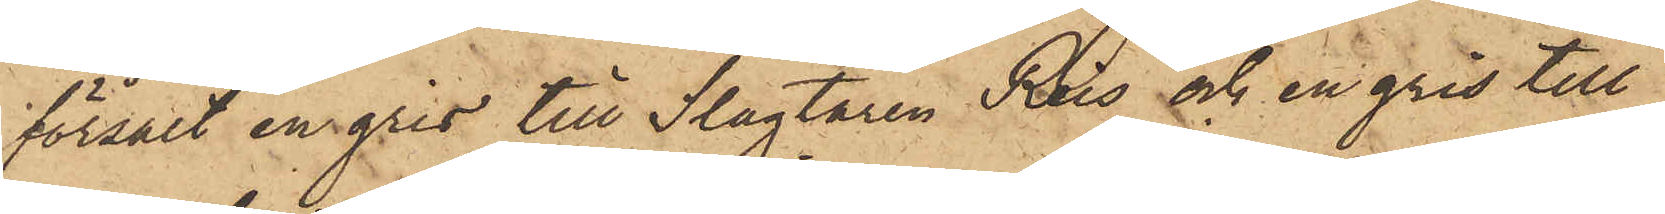försålt en gris till Slagtaren Ros och en gris till
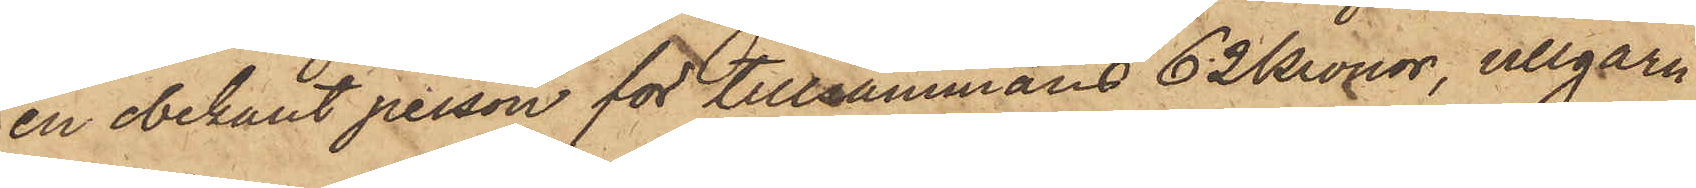en obekant person för tillsammans 62 Kronor, ullgarn
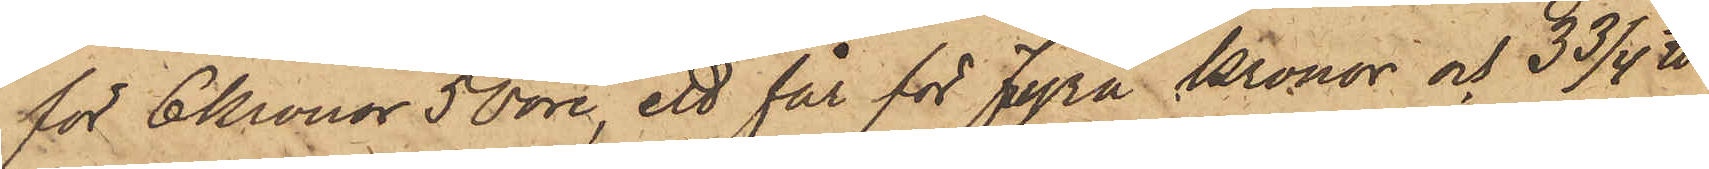för 6 Kronor 50 öre, ett får för fyra Kronor och 3 3/4 ℔
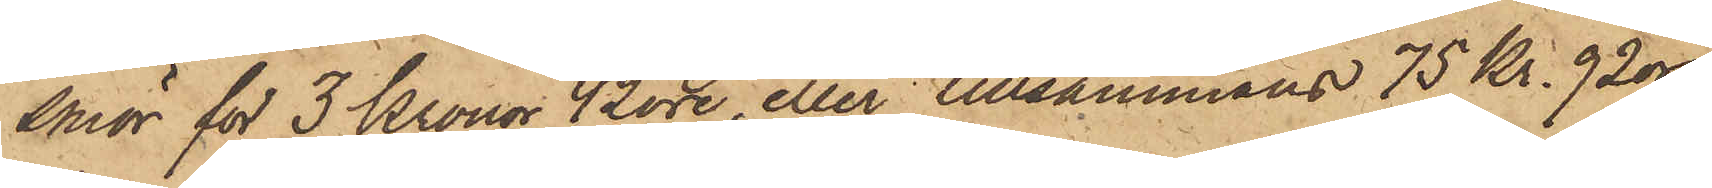smör för 3 Kronor 42 öre, eller tillsammans 75 Kr. 92 öre
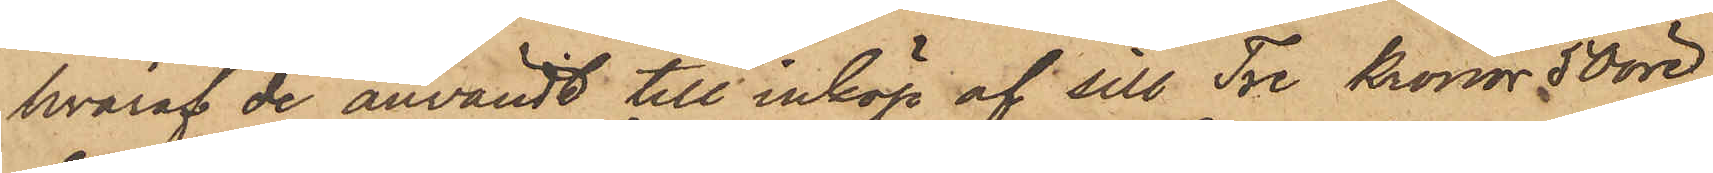hvaraf de användt till inköp af sill Tre Kronor 50 öre
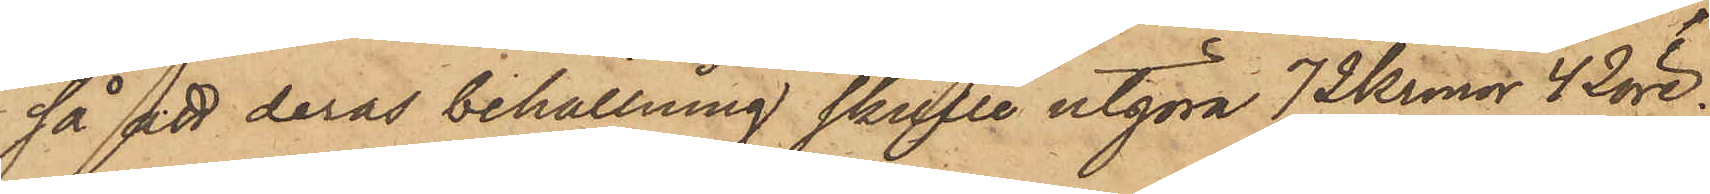så att deras behållning skulle utgöra 72 Kronor 42 öre;
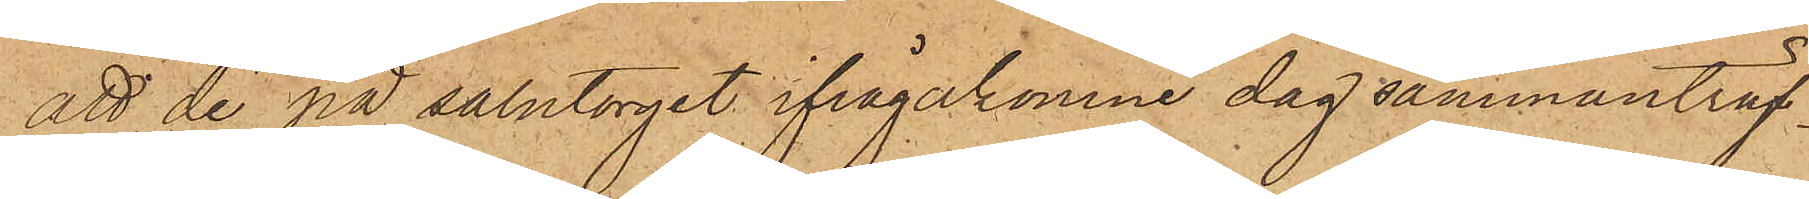att de på salutorget ifrågakomne dag sammanträf¬
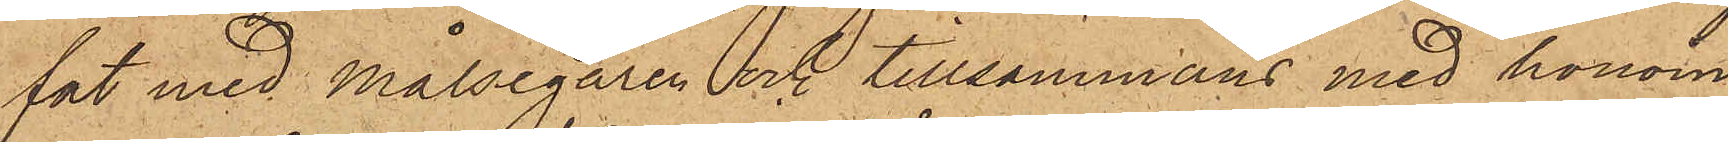fat med Målsegaren och tillsammans med honom
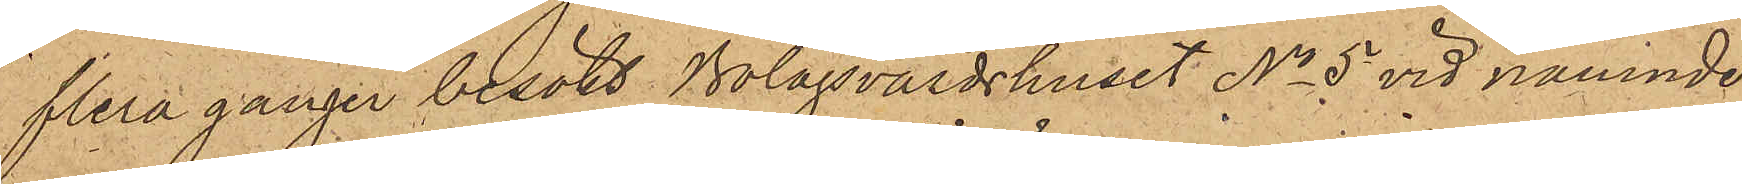flera gånger besökt Bolagsvärdshuset No 5 vid nämnde
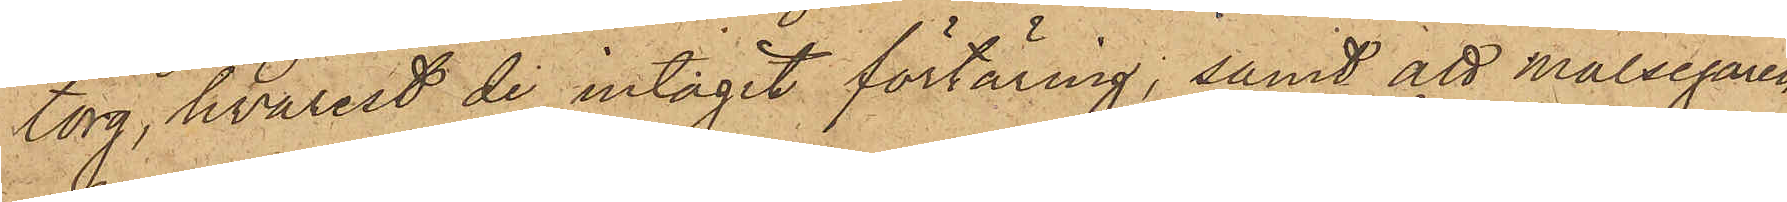torg, hvarest de intagit förtäring; samt att målsegaren
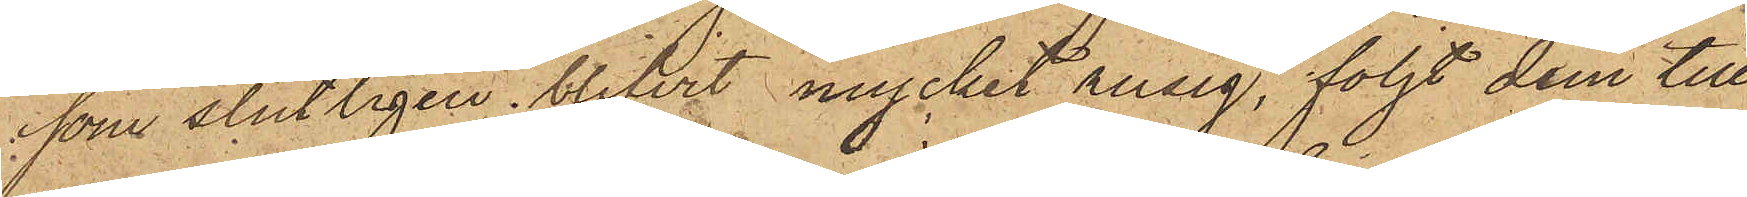 som slutligen blifvit mycket rusig, följt dem till
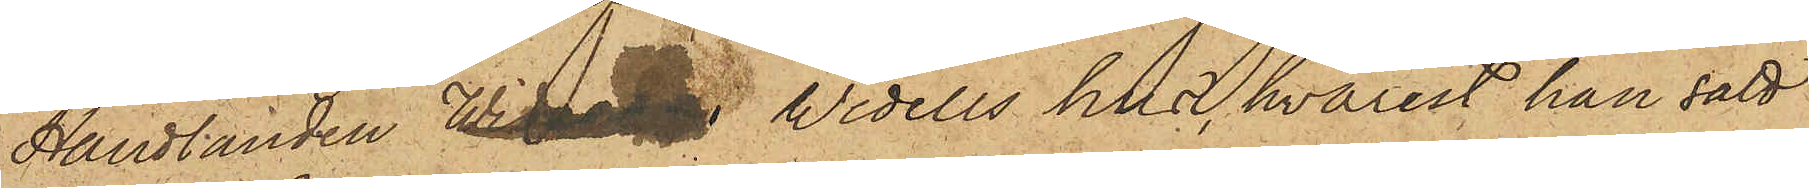Handlanden Widellme Widells hus, hvarest han satt
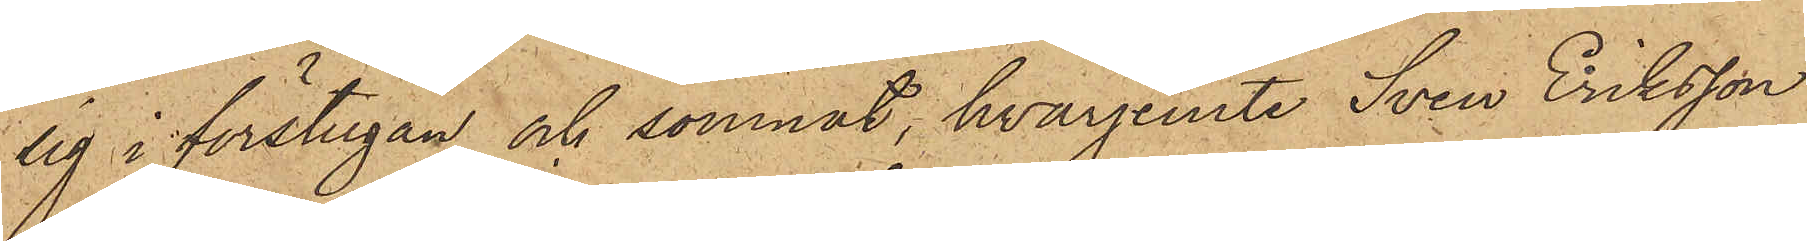sig i förstugan och somnat, hvarjemte Sven Eriksson
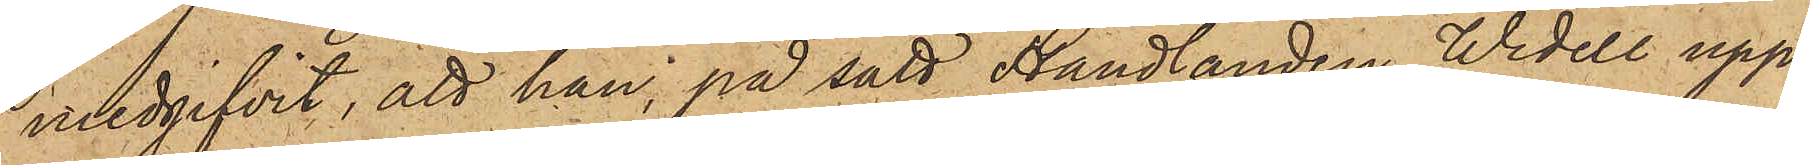medgifvit, att han, på sätt Handlanden Widell upp¬
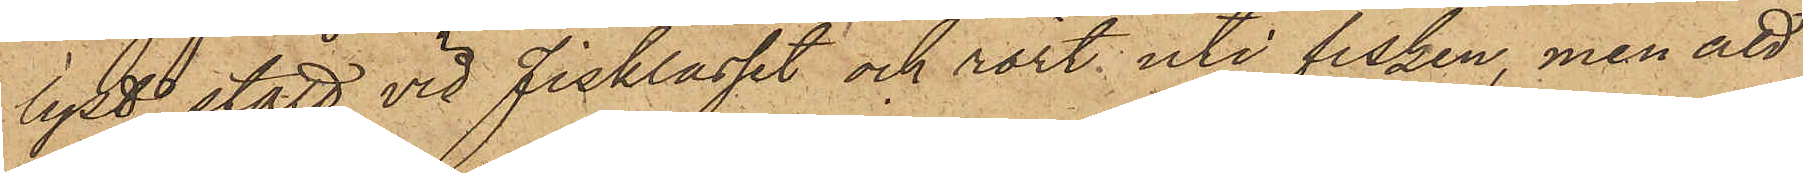lyst, stått vid fisklasset och rört uti fisken, men att
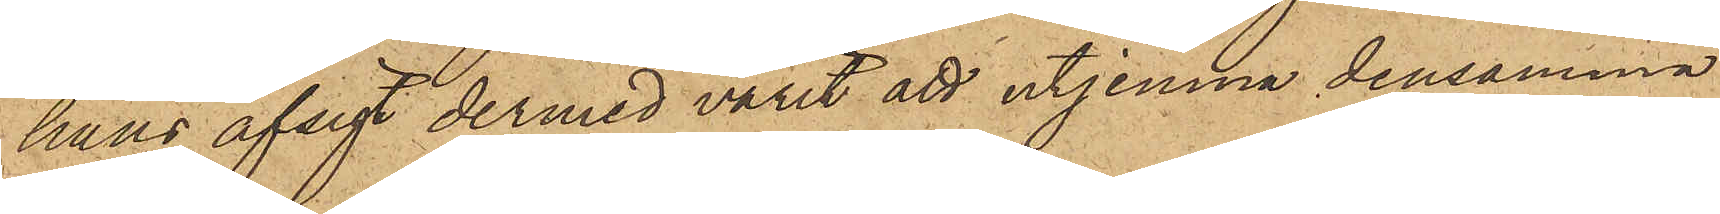hans afsigt dermed varit att utjemna densamma
